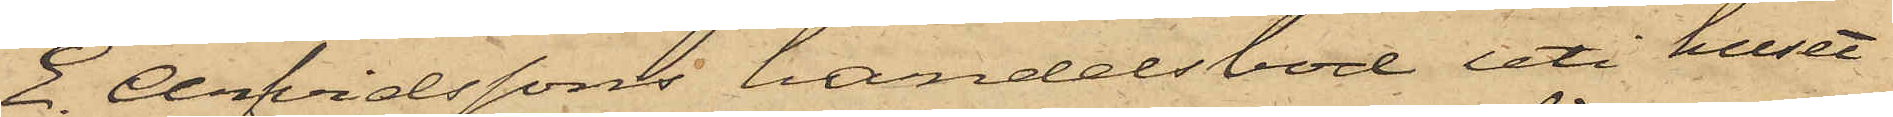E. Arfvidssons handelsbod uti huset
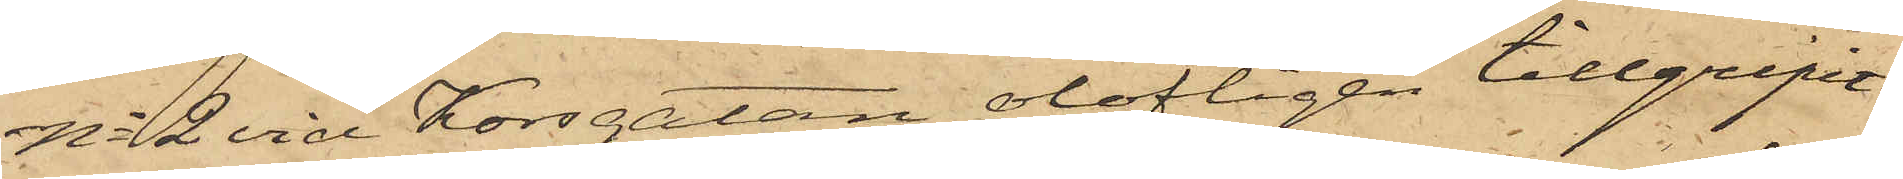No 2 vid Korsgatan olofligen tillgripit
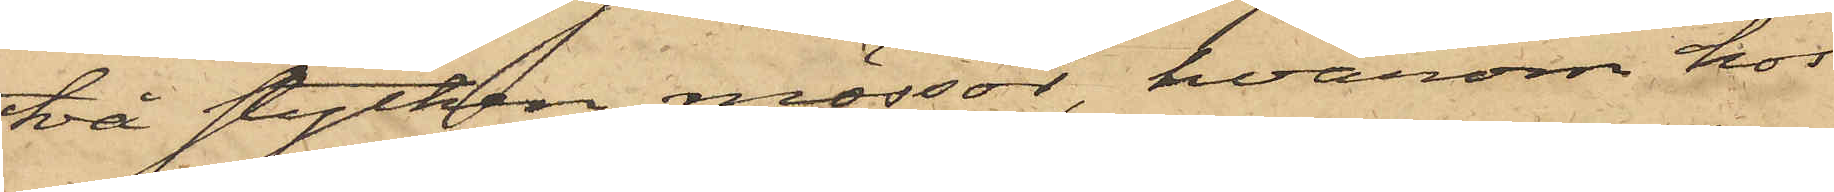två stycken mössor, hvarom hos
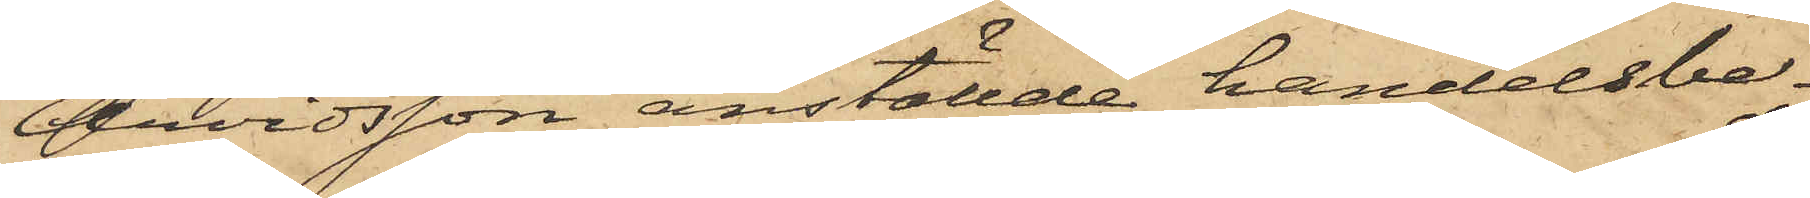Arvidsson anställde handelsbe¬
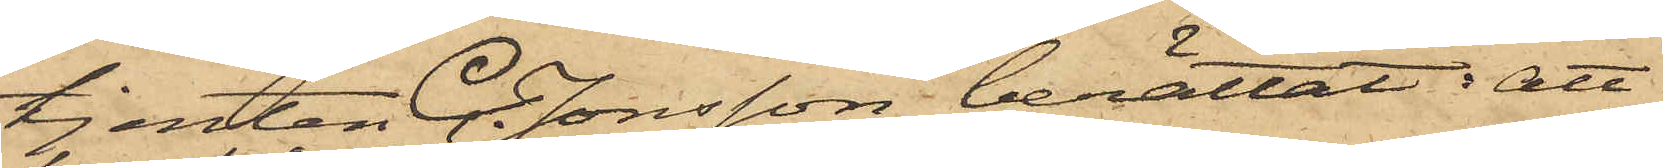tjenten C. Jonsson berättat; att
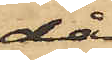då
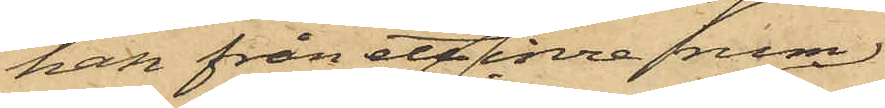han från ett inre rum
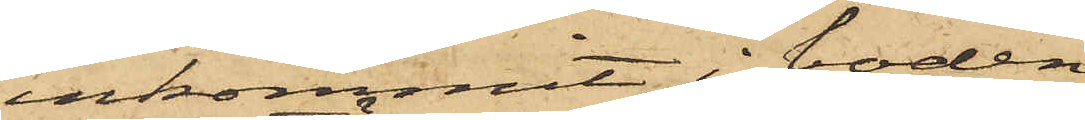inkommit i boden
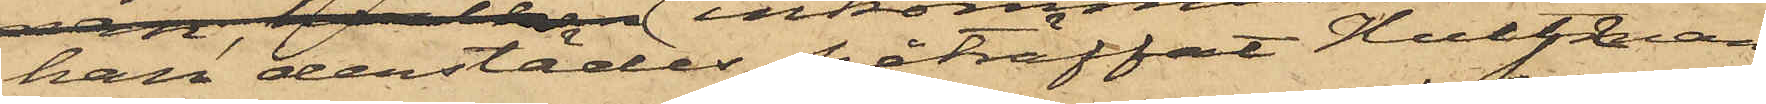han derstädes påträffat Hultman
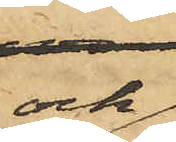och
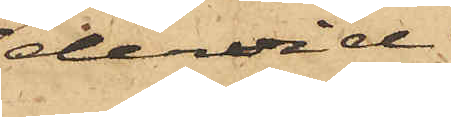dervid
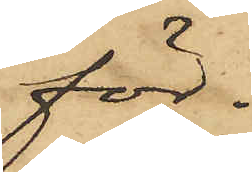för¬
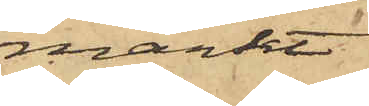märkt
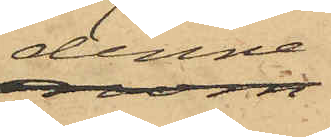denne
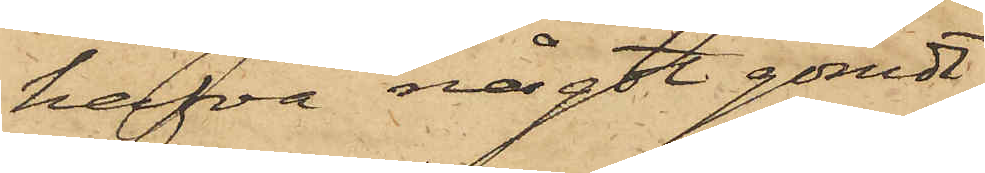hafva något gömdt
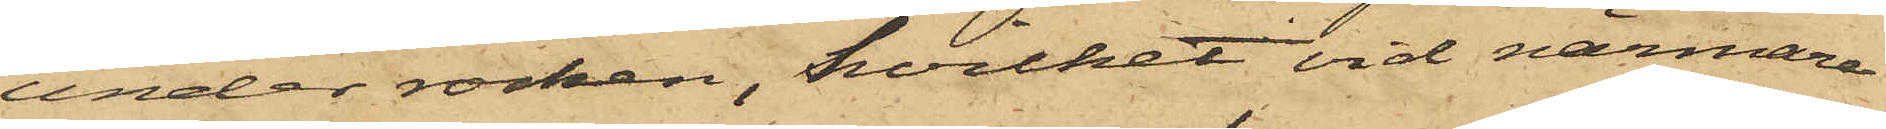under rocken, hvilket vid närmare
